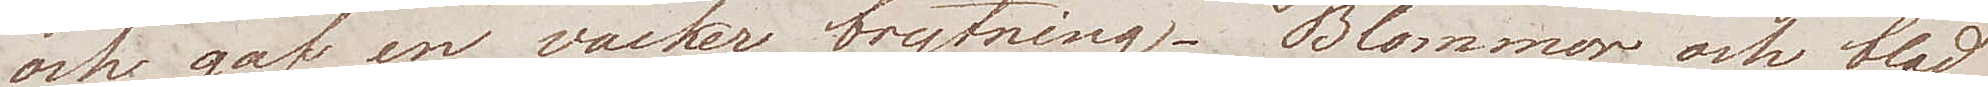och gaf en vacker brytning. Blommor och blad 
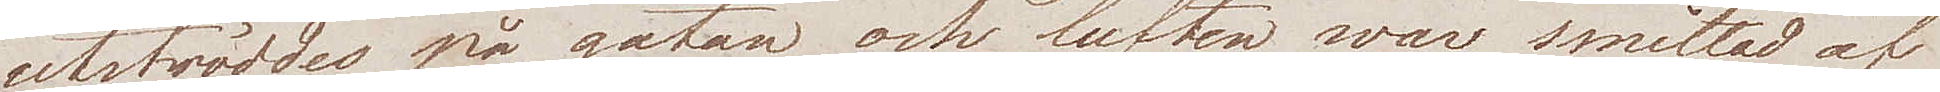utströddes på gatan och luften war mättad af
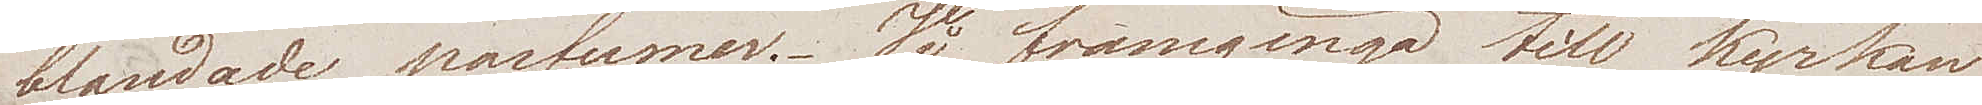blandade parfumer. Vi framgingo till kyrkan
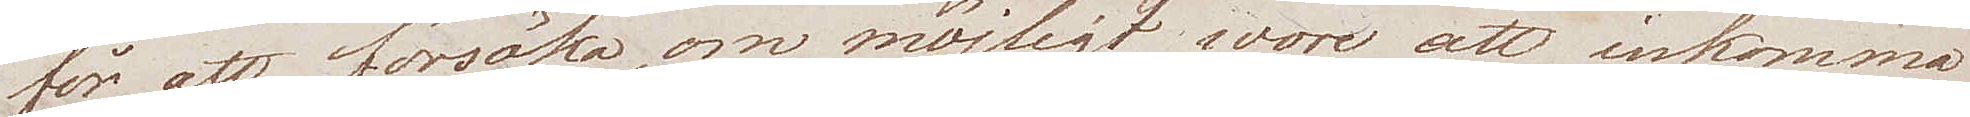för att försöka, om möjligt wore att inkomma
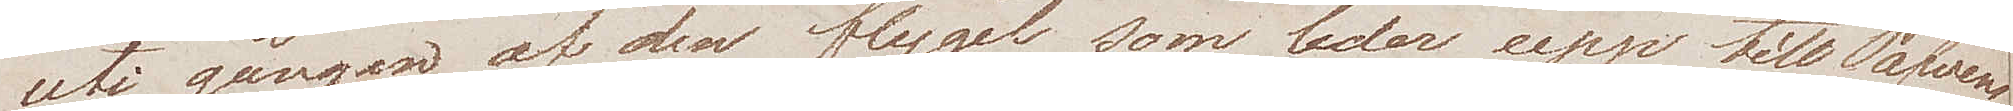uti gången af den flygel som leder upp till Påfvens
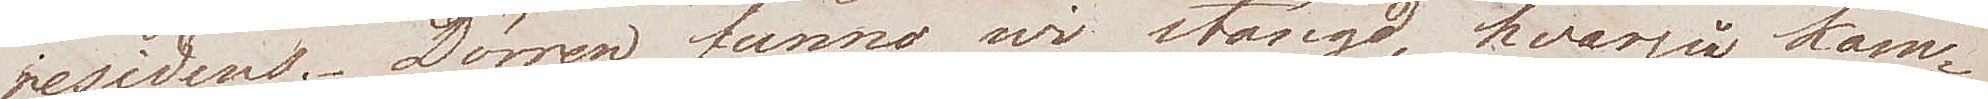residens. Dörren funno wi stängd, hvarpå kam¬
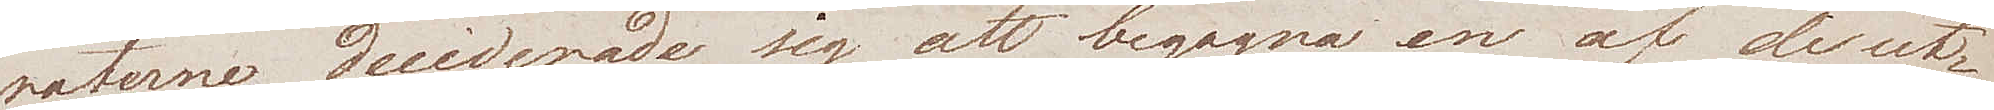raterne deciderade sig att begagna en af de ut¬
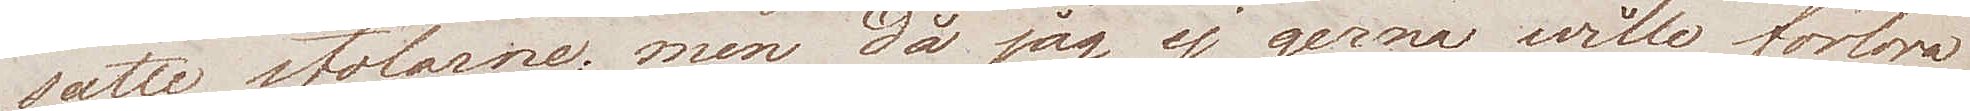satte stolarne; men då jag ej gerna wille förlora
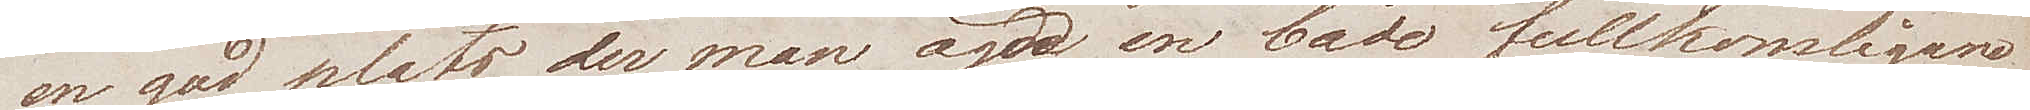en god plats der man ägde en både fullkomligare
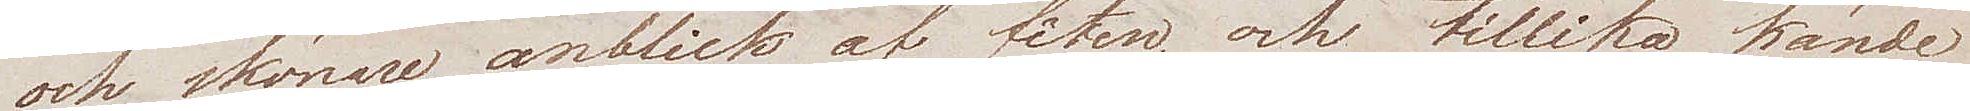och skönare anblick af fêten, och tilika kände
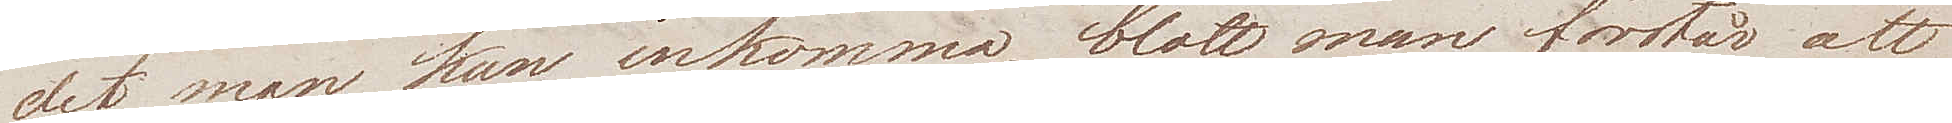det man kan inkomma, blott man förstår att
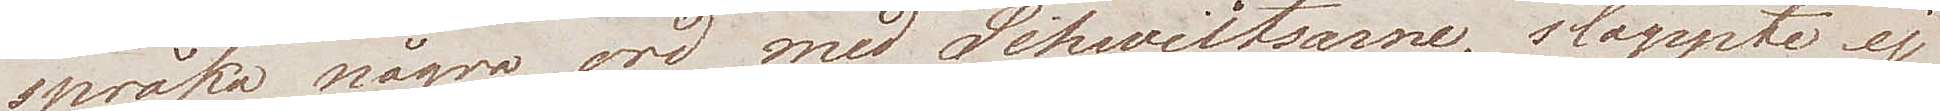språka några ord med Schweitsarne, släppte ej
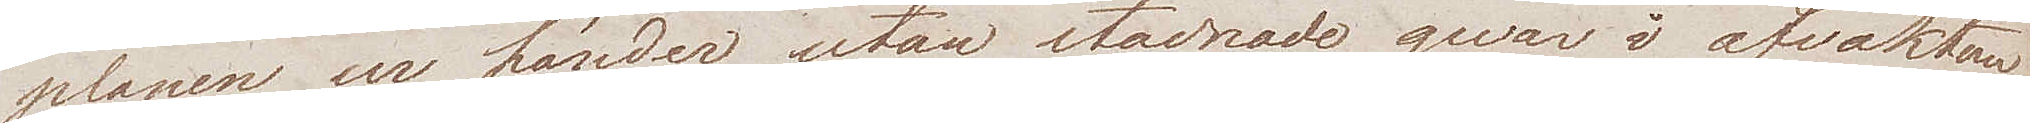planen ur händer, utan stadnade qvar i afvaktan
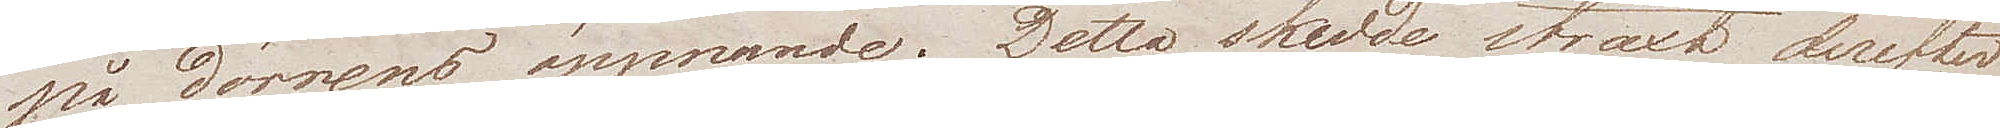på dörrens öppnande. Detta skedde straxt derefter
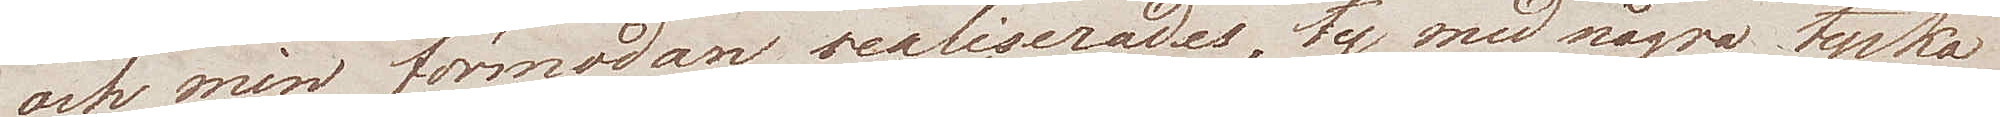och min förmodan realiserades, ty med några tyska
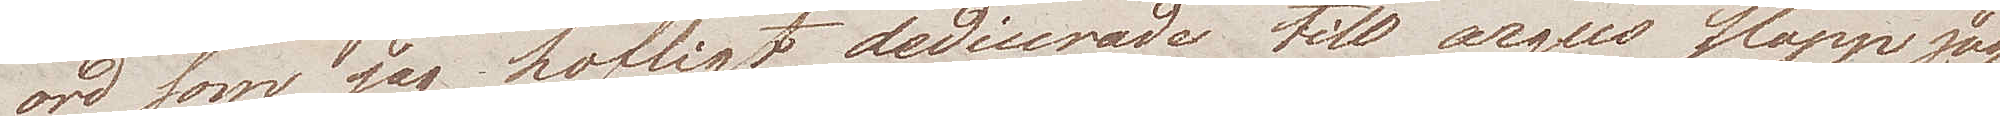ord som jag höfligt dedicerade till argus slapp jag
